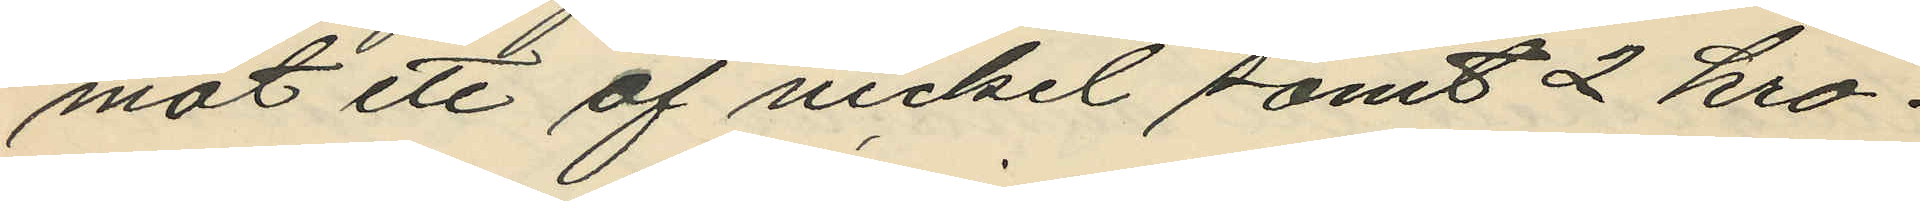mot ett af nickel samt 2 kro¬
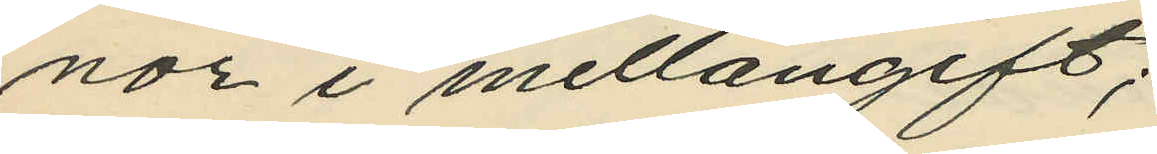nor i mellangift;
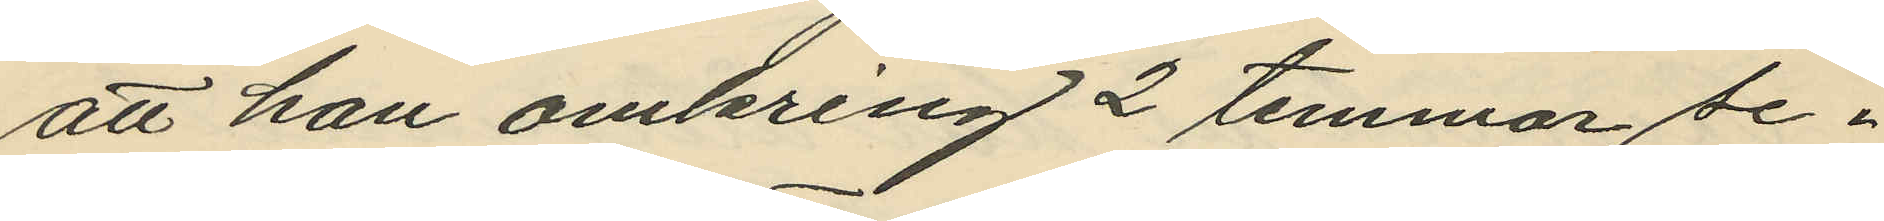att han omkring 2 timmar se¬
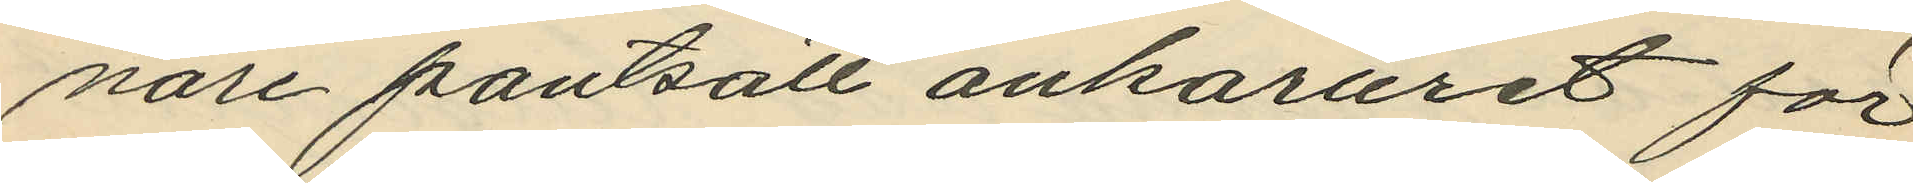nare pantsatt ankaruret för
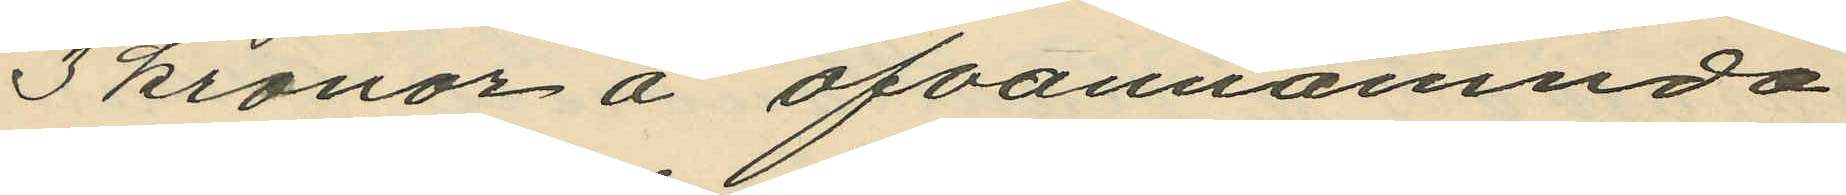3 kronor å ofvannämnda
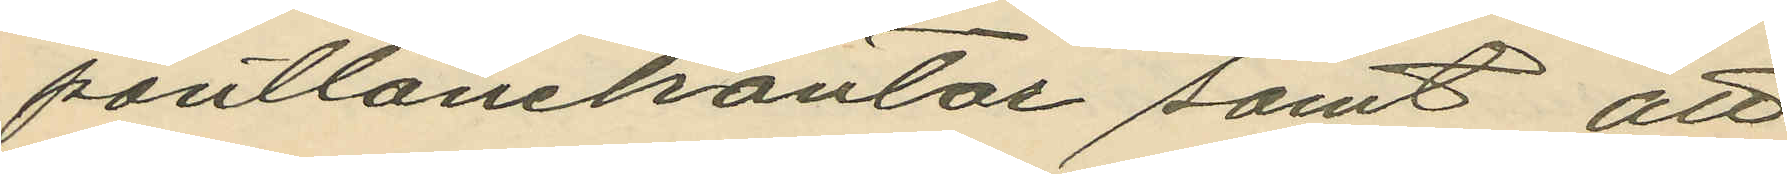pantlånekontor samt att
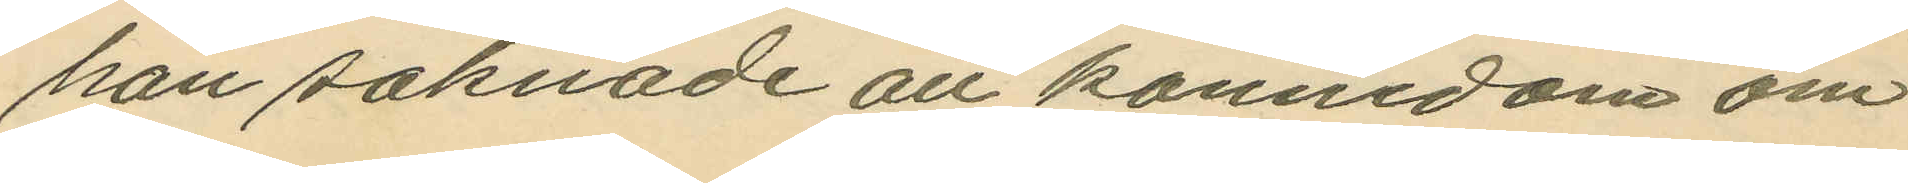han saknade all kännedom om
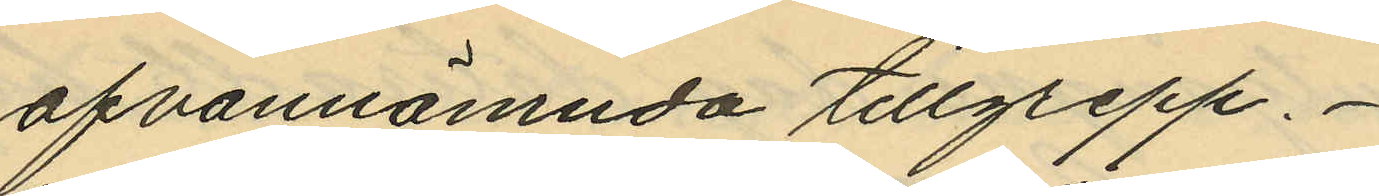ofvannämnda tillgrepp.
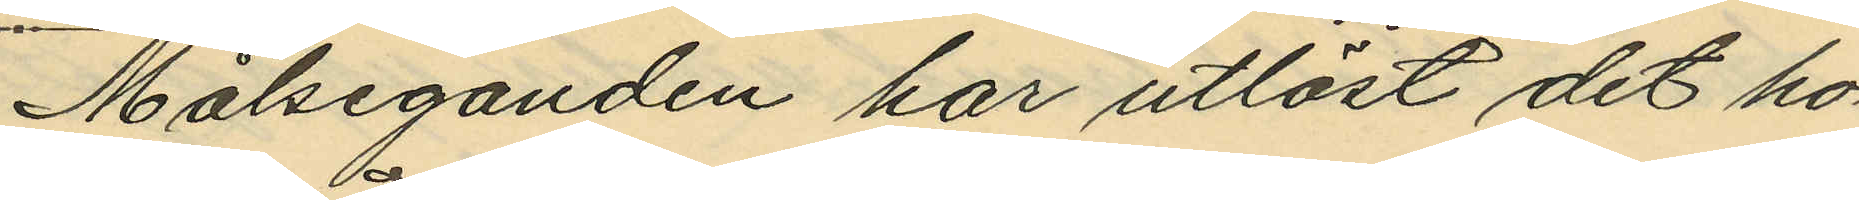Målseganden har utlöst det ho¬
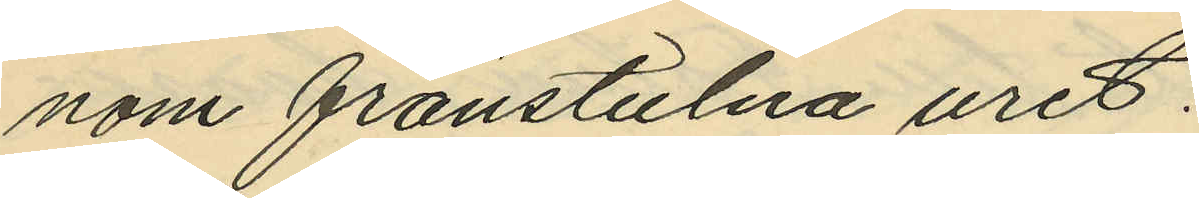nom frånstulna uret.
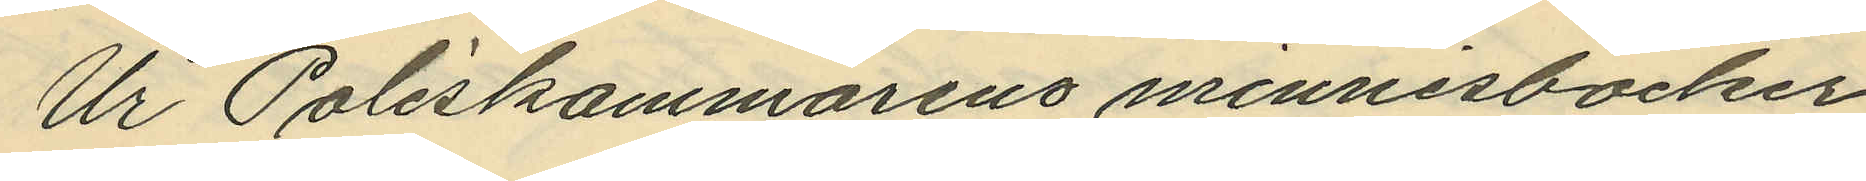Ur Poliskammarens minnesbocker
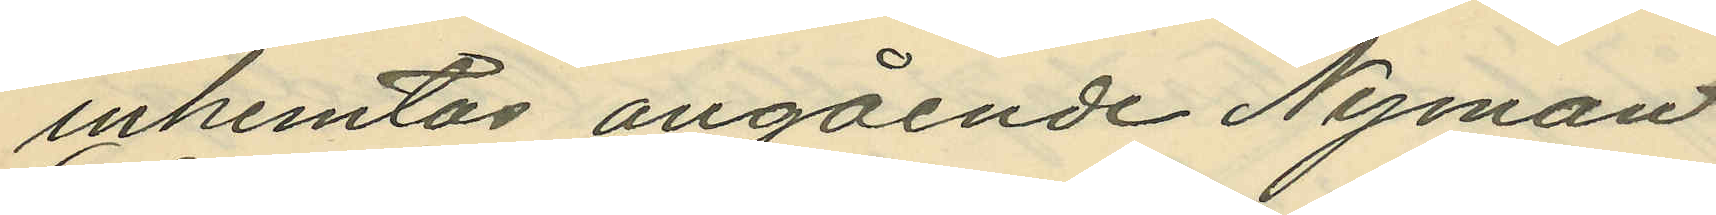inhemtas angående Nyman
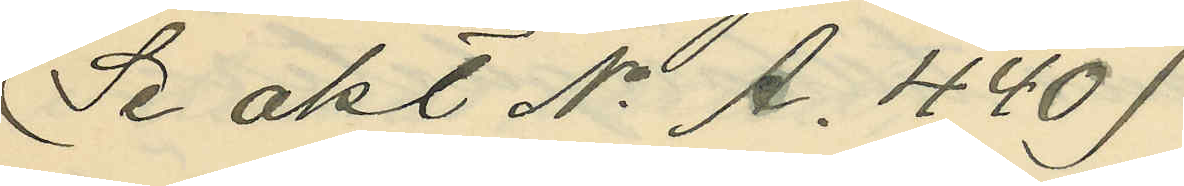(Se akt No A. 440)
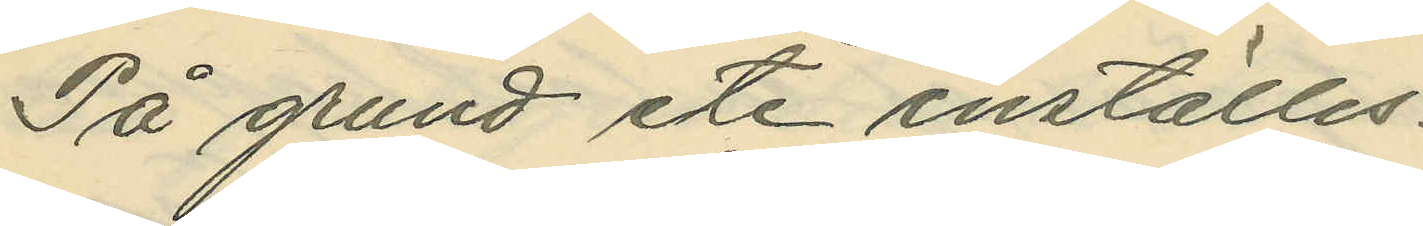På grund etc. inställes.
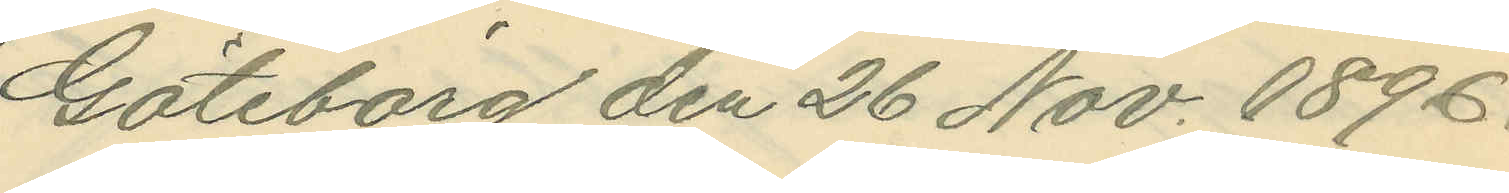Göteborg den 26 Nov. 1896.
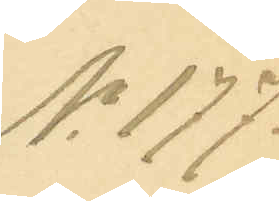No 177.
